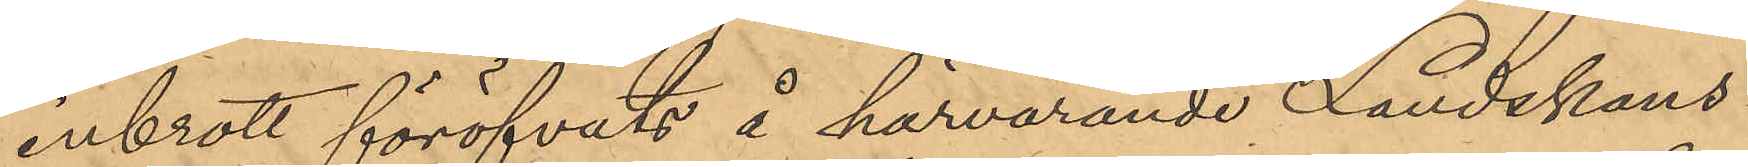inbrott föröfvats å härvarande Landskans¬
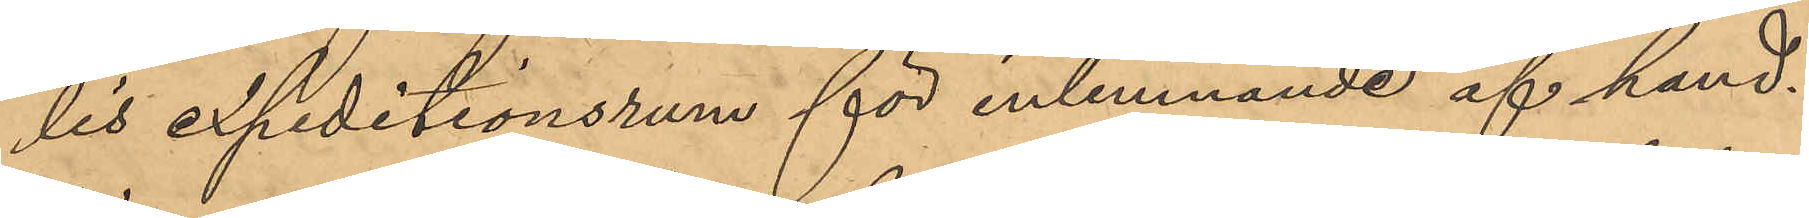lis expeditionsrum för inlemnande af hand¬
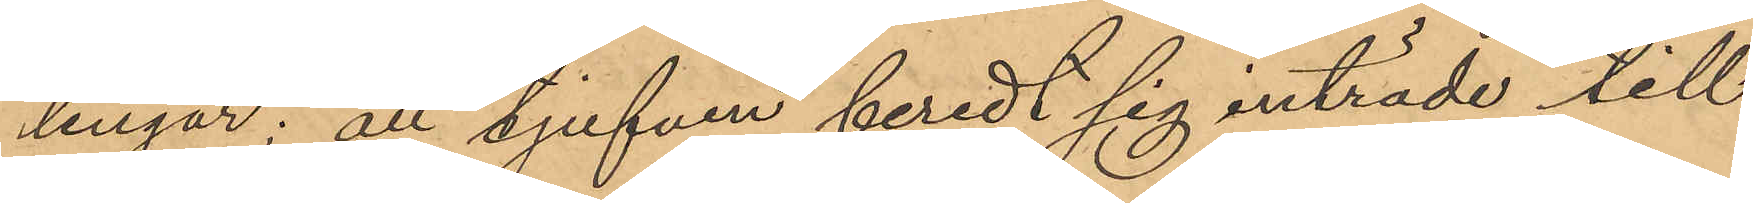lingar; att tjufven beredt sig inträde till
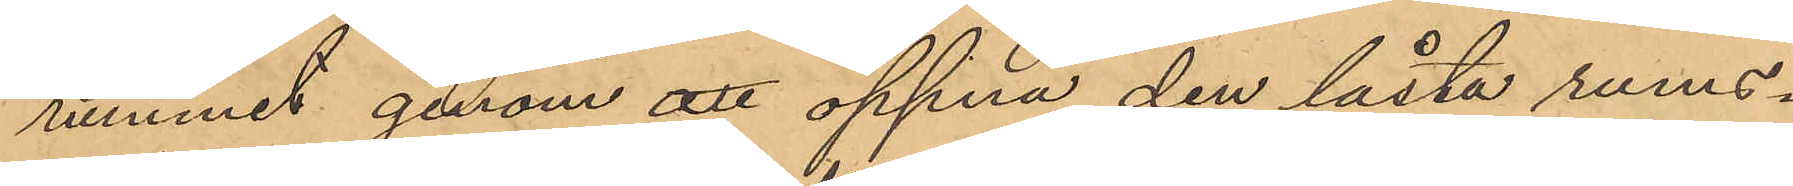rummet genom att öppna den låsta rums¬
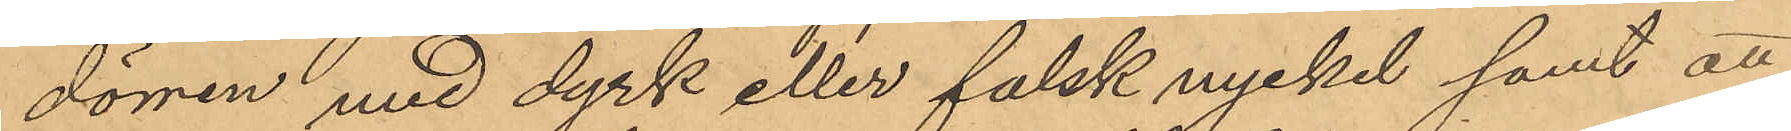dörren med dyrk eller falsk nyckel samt att
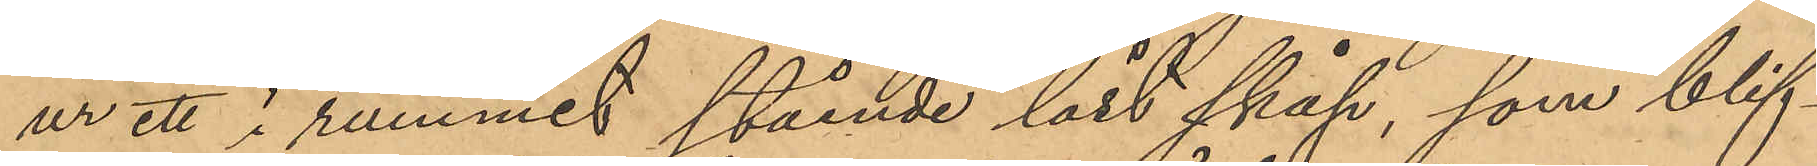ur ett i rummet stående låst skåp, som blif¬
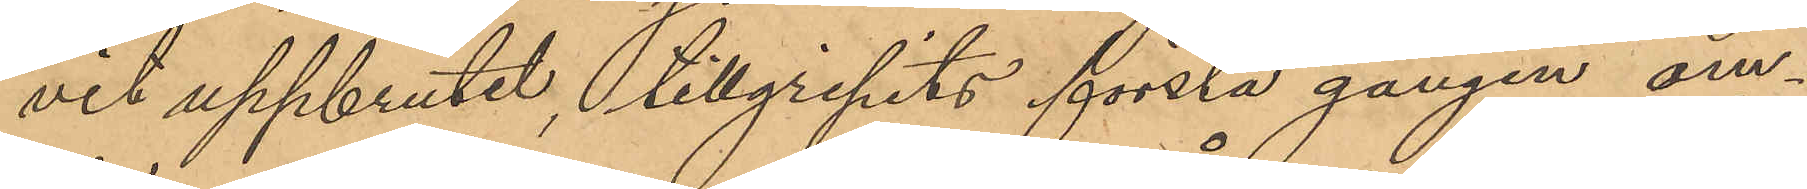vit uppbrutit, tillgripits första gången om¬
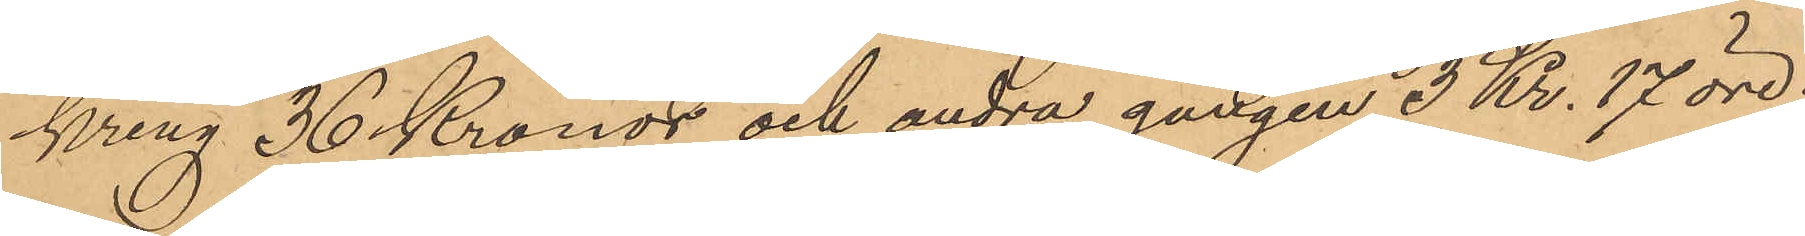kring 36 Kronor och andra gången 3 Kr. 17 öre.
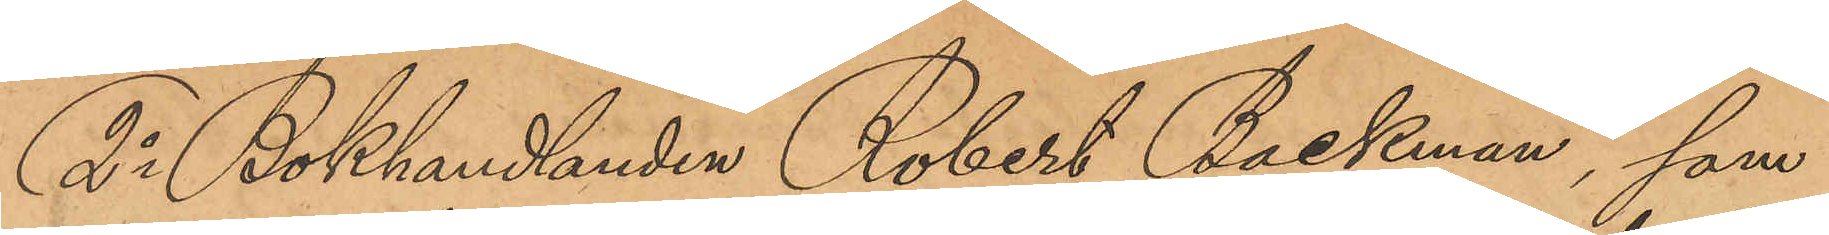2o Bokhandlanden Robert Backman, som
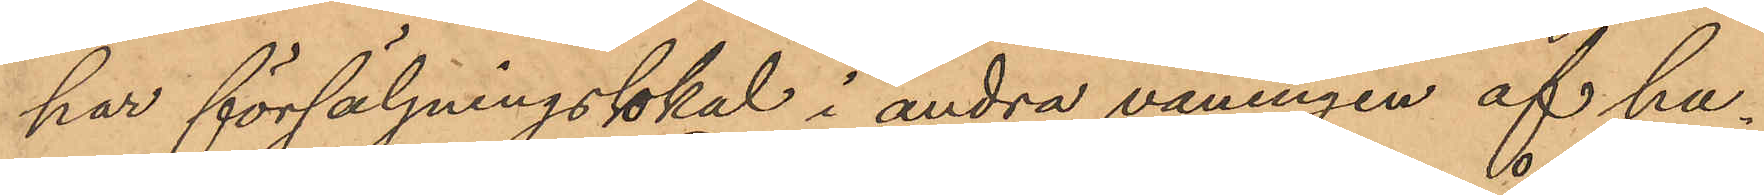har försäljningsokal i andra våningen af hu¬
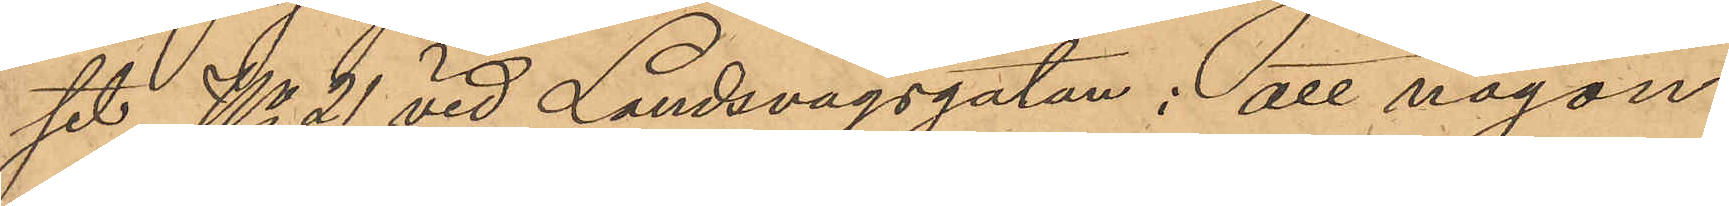set No 21 vid Landsvägsgatan: att någon
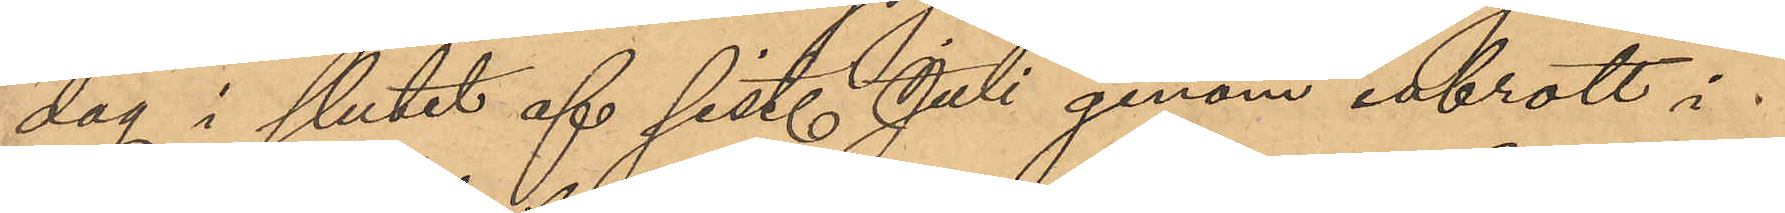dag i slutet af sist. Juli genom inbrott i
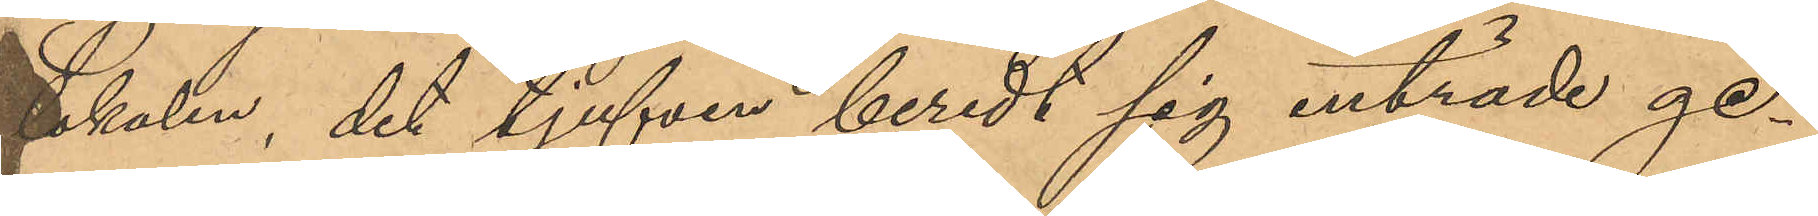Lokalen, det tjufven beredt sig inträde ge¬
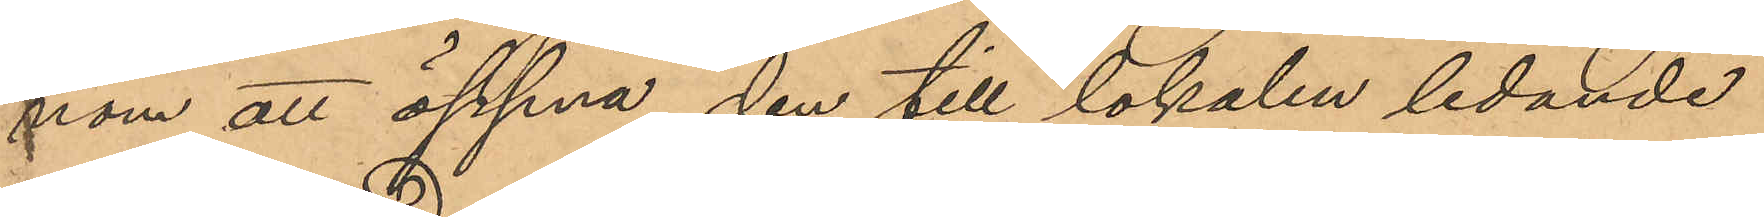nom att öppna den till lokalen ledande
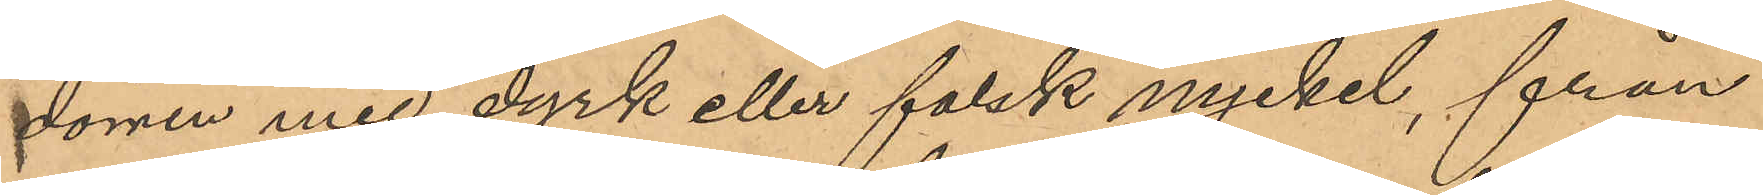dörren med dyrk eller falsk nyckel, från
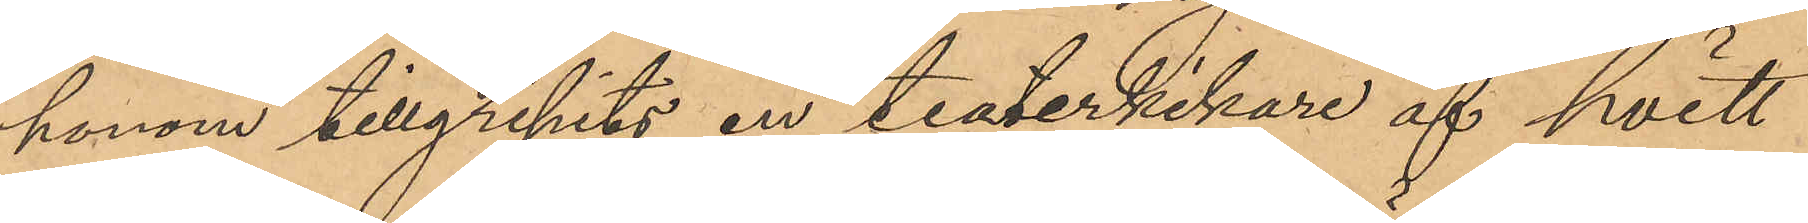honom tillgripits en teaterkikare af hvitt
